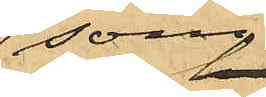som
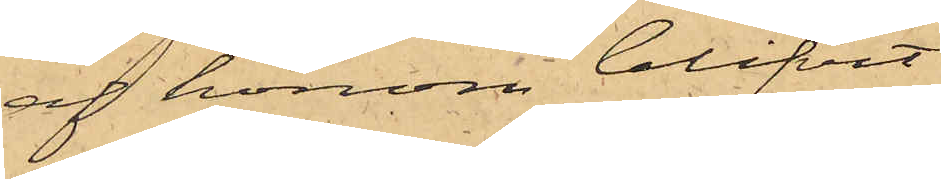af honom blifvit
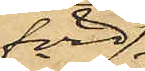förd
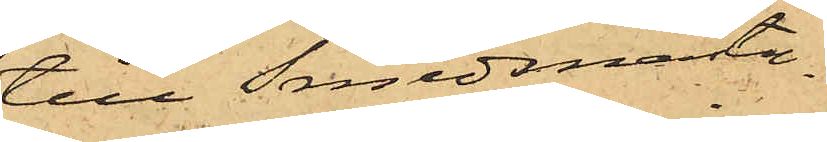till Smedsmästa¬
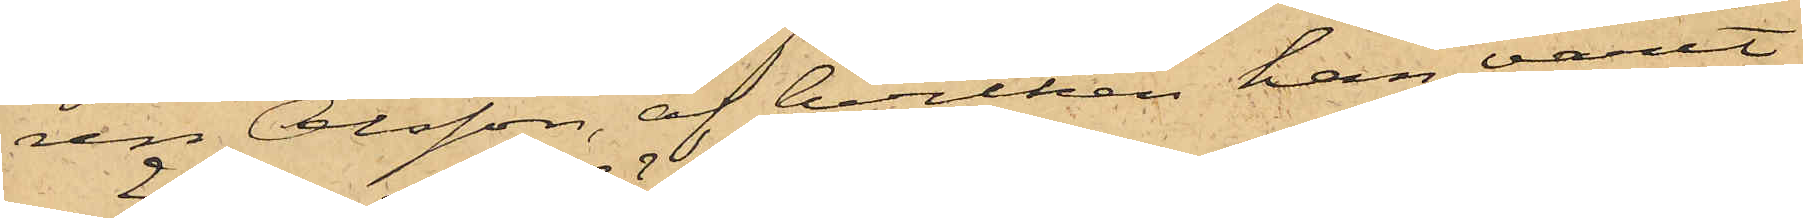ren Olsson, af hvilken han varit
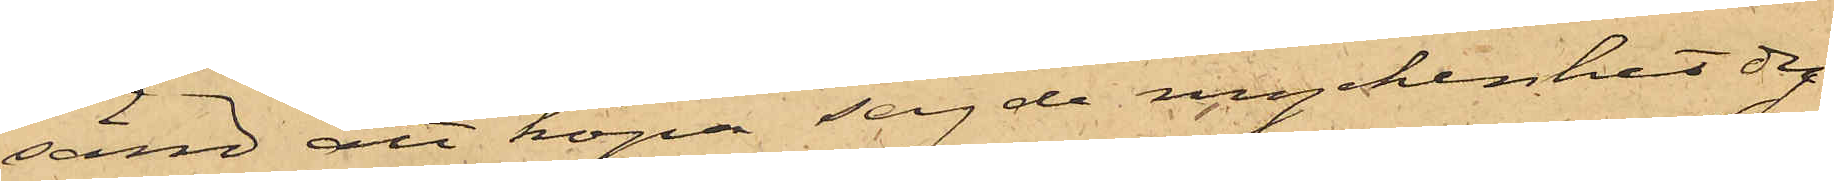sänd att köpa sagde myckenhet dy¬
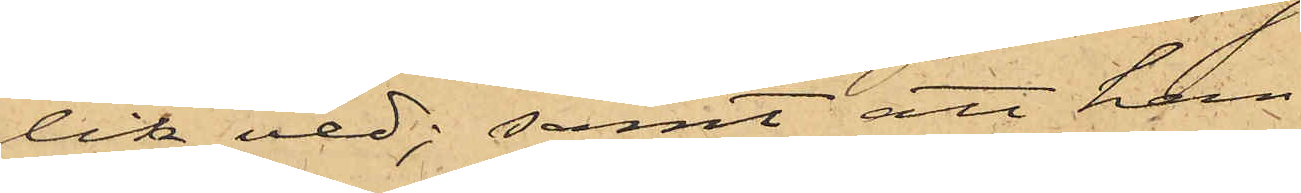lik ved; samt att han
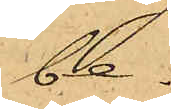be¬
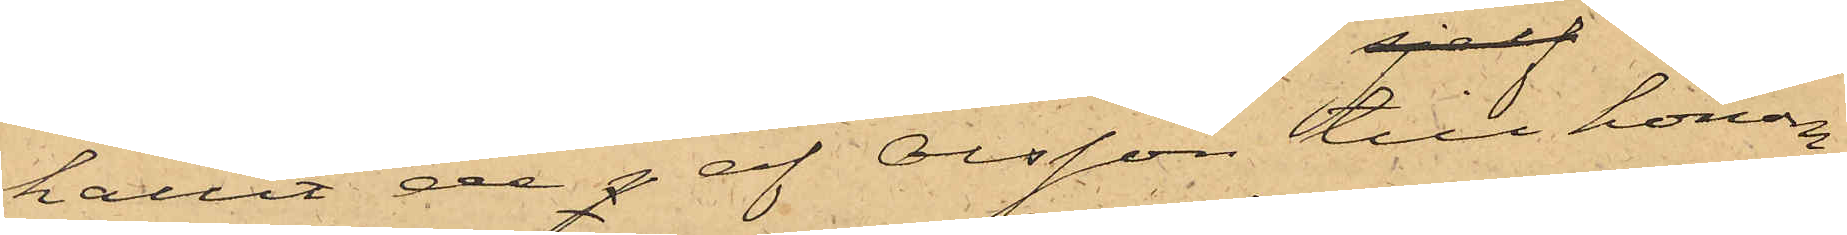hållit de p af Olsson till honom
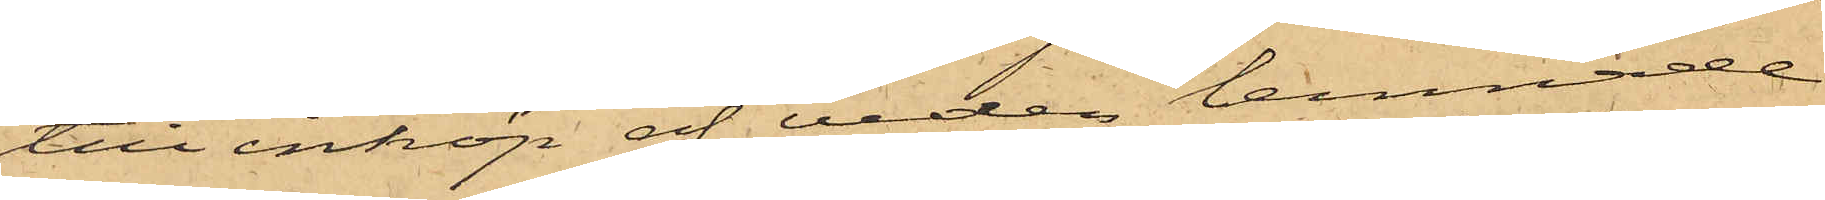till inköp af veden lemnade
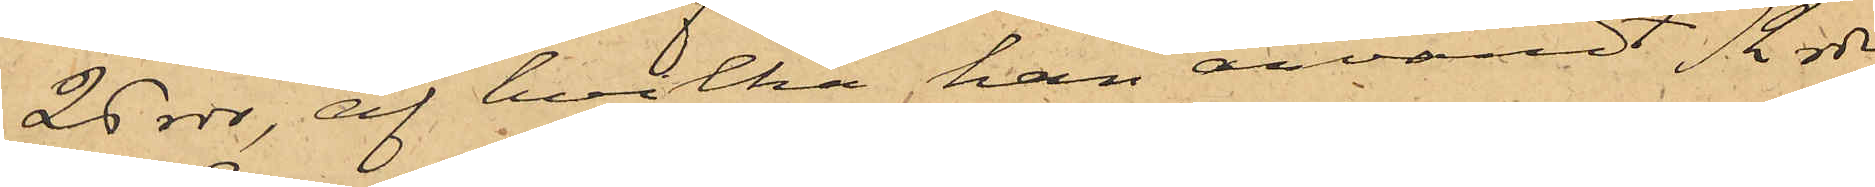26 rdr, af hvilka han användt 12 rdr
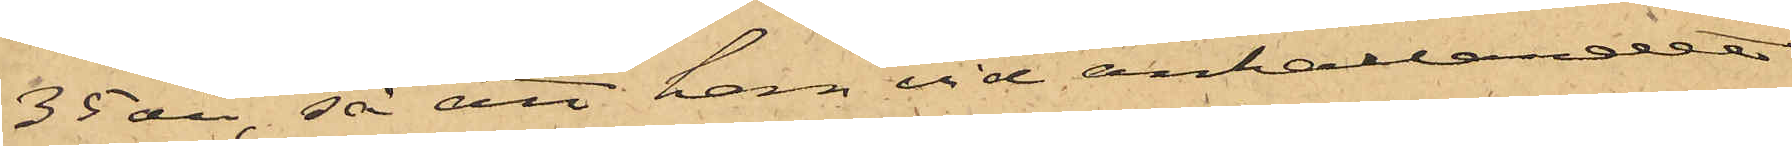35 öre, så att han vid anhållandet
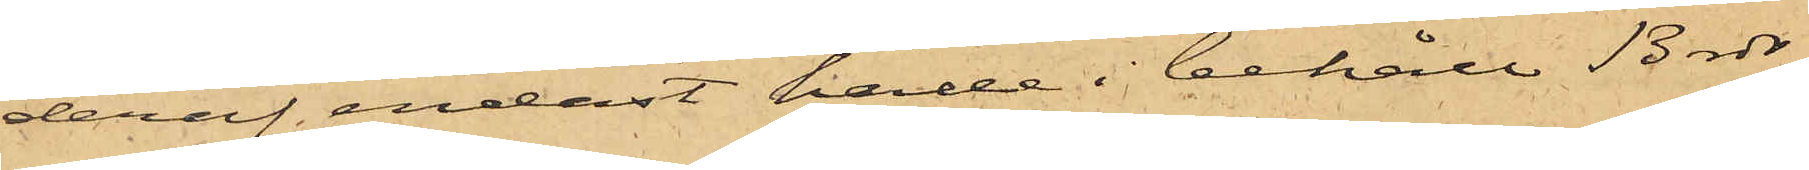deraf, endast hade i behåll 13 rdr
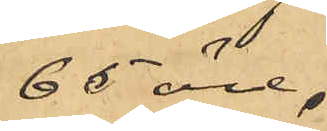65 öre.
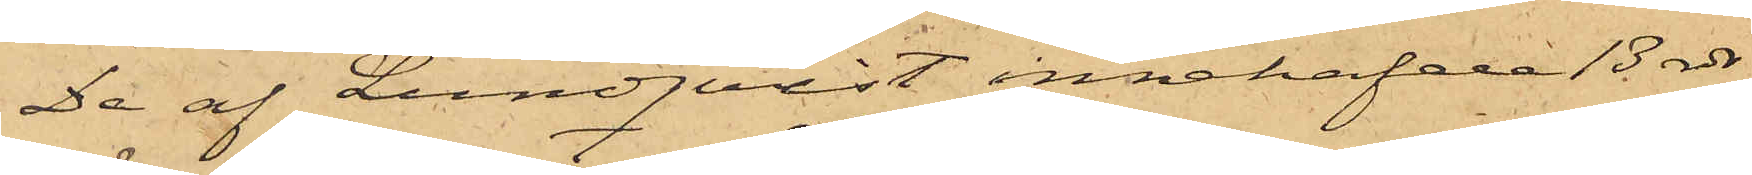De af Lundqvist innehafde 13 rdr
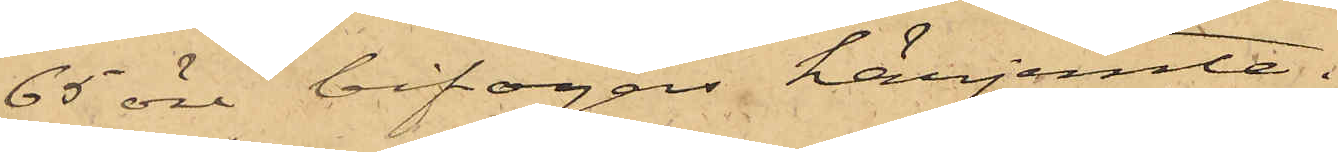65 öre bifogas härjemte.
